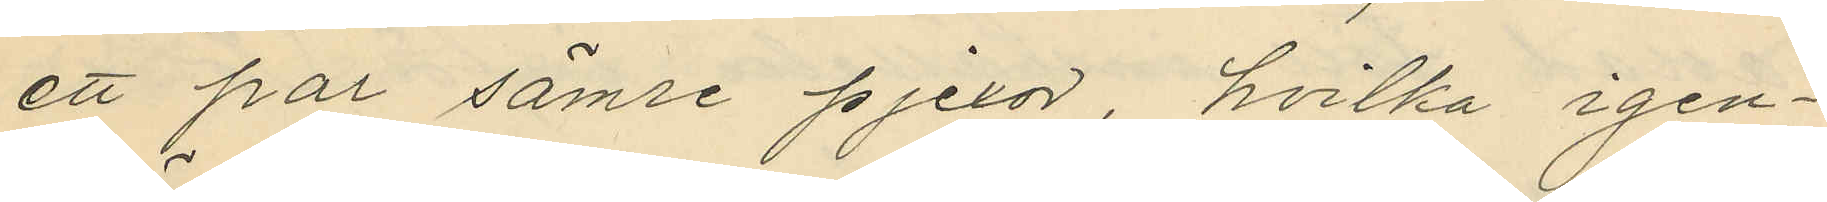ett par sämre pjexor, hvilka igen¬
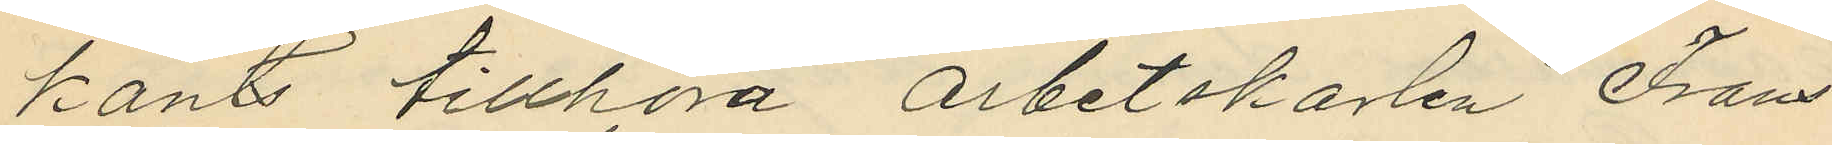känts tillhöra arbetskarlen Frans
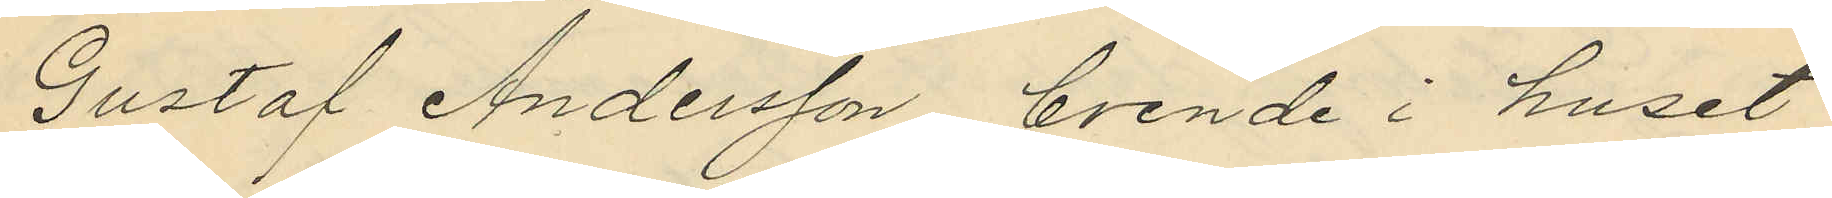Gustaf Andersson, boende i huset
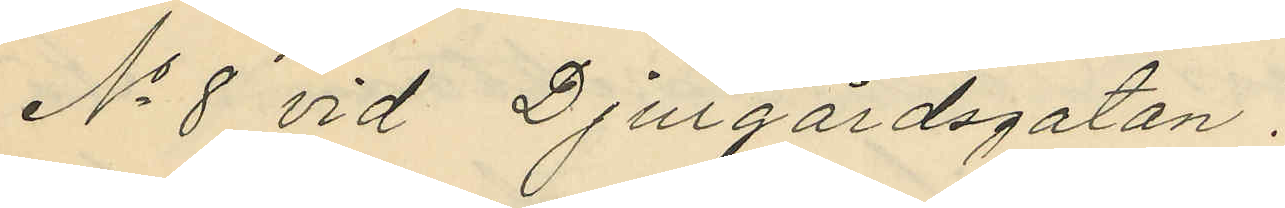No 8 vid Djurgårdsgatan.
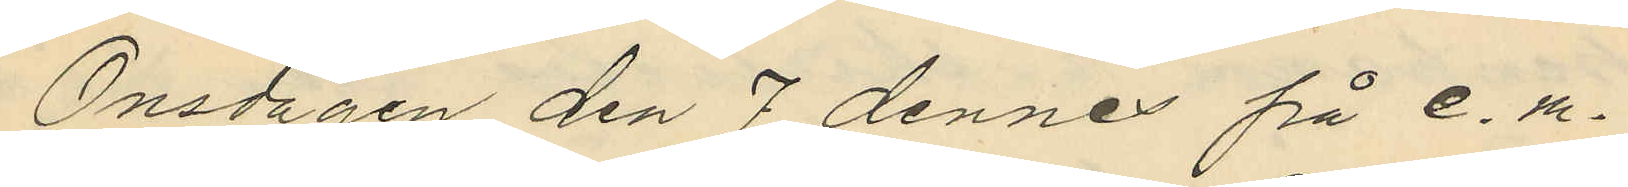Onsdagen den 7 dennes på e. m.
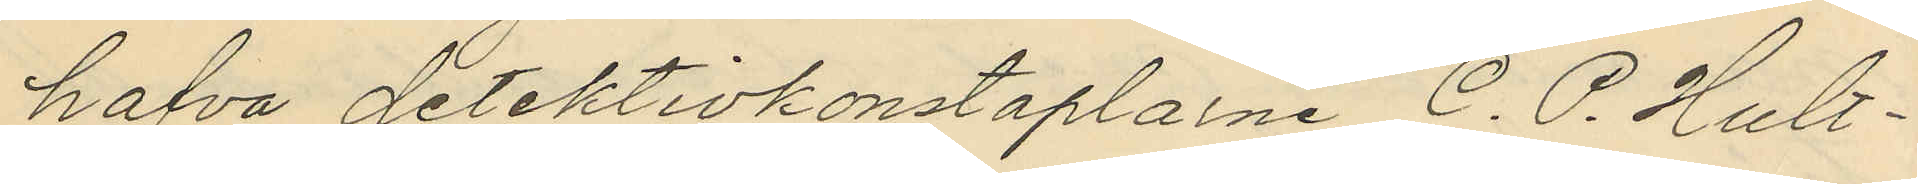hafva detektivkonstaplarne C. P. Hult¬
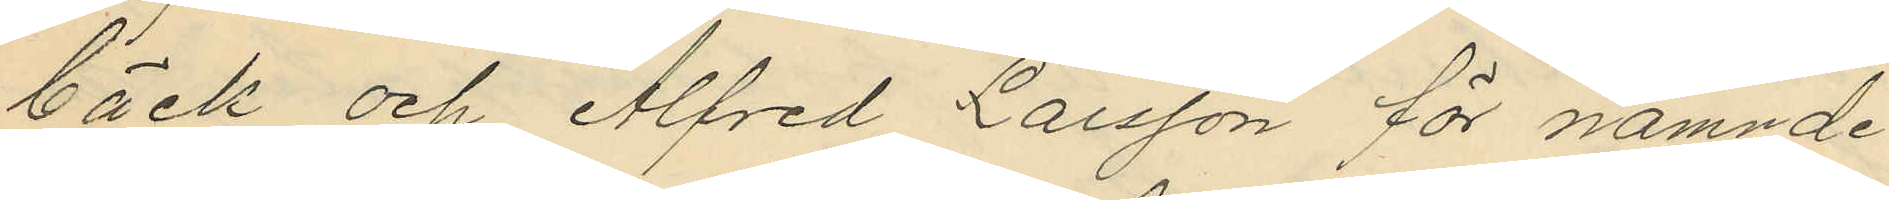bäck och Alfred Larsson för nämnde
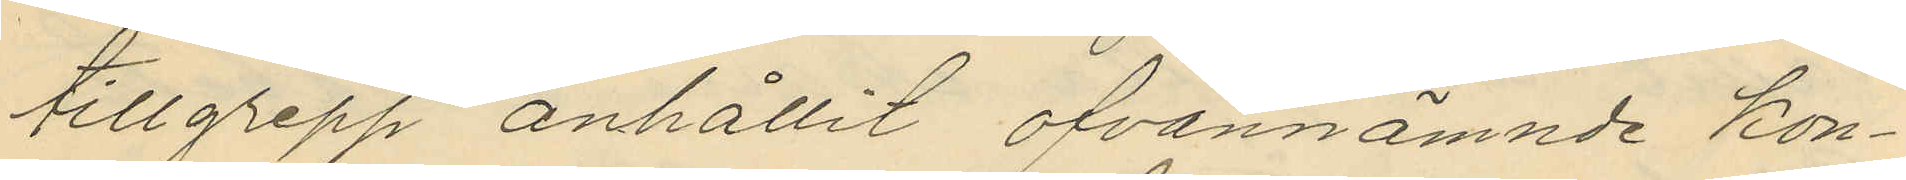tillgrepp anhållit ofvannämnde kon¬
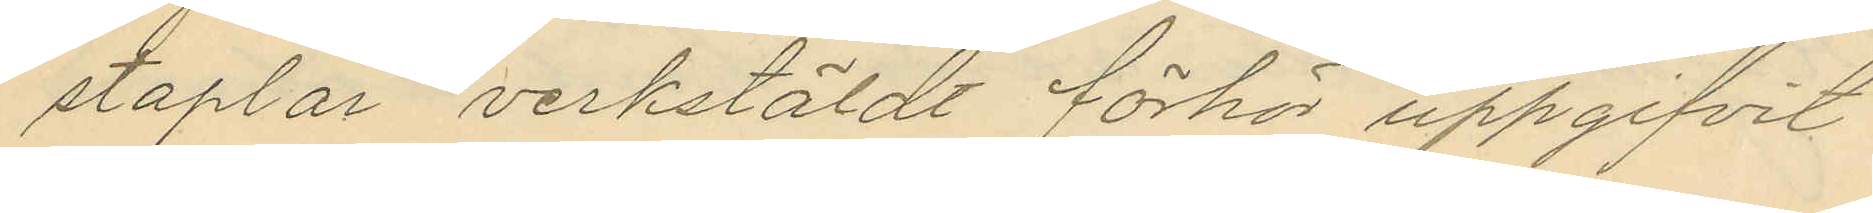staplar verkstäldt förhör uppgifvit
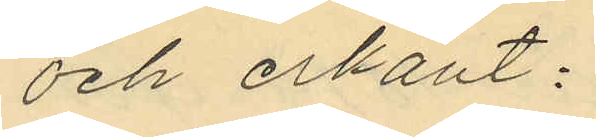och erkänt:
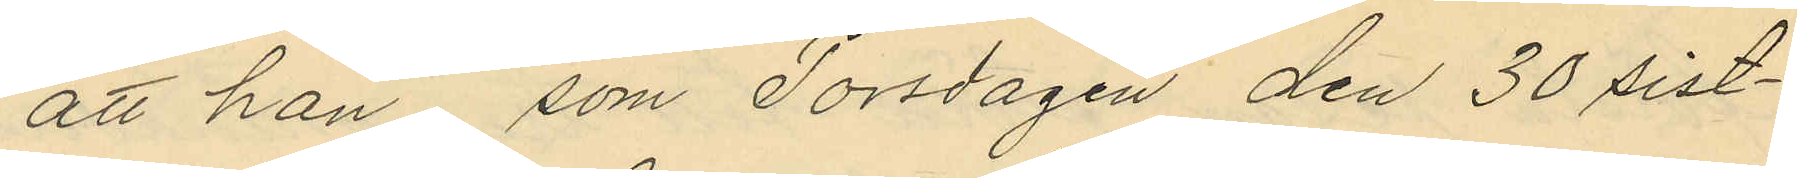att han, som Torsdagen den 30 sist¬
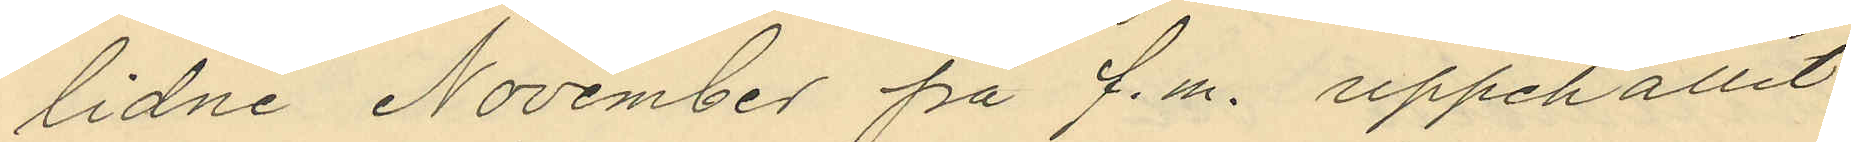lidne November på f.m. uppehållit
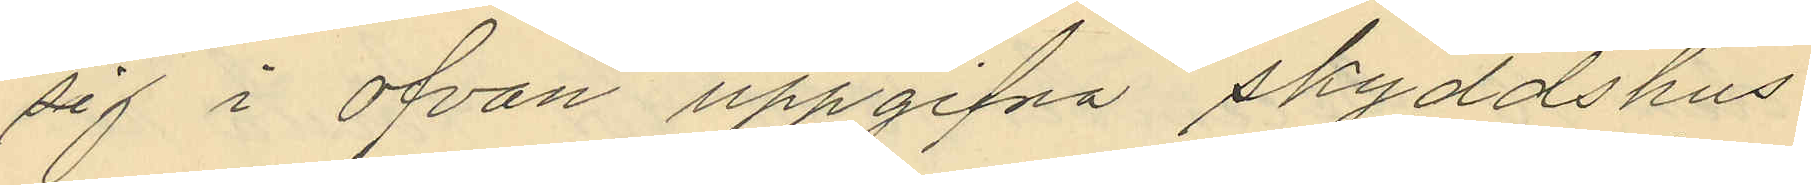sig i ofvan uppgifna skyddshus
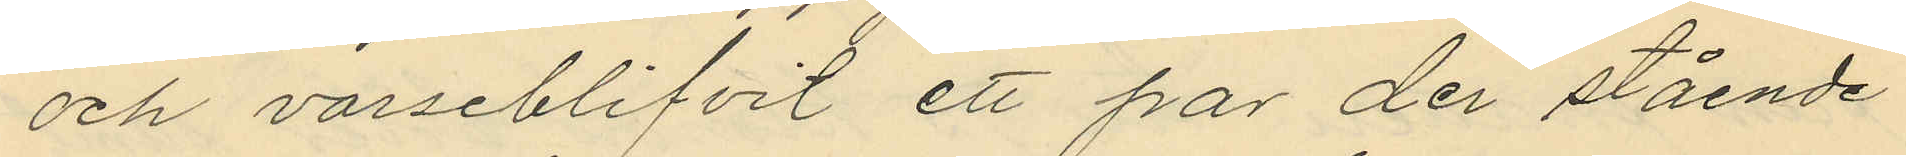och varseblifvit ett par der stående
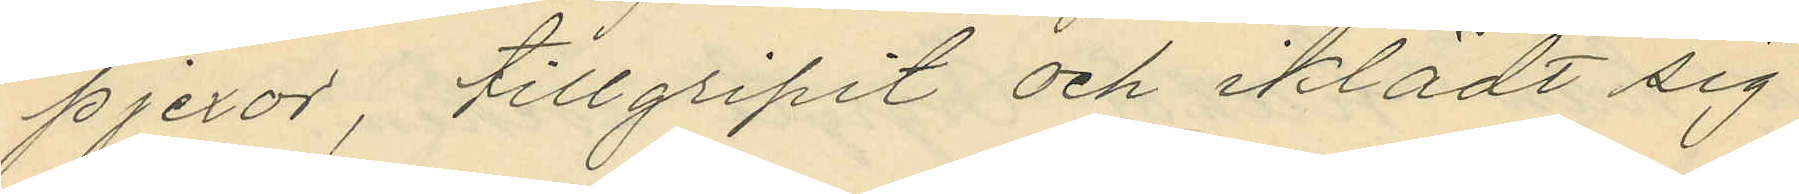pjexor, tillgripit och iklädt sig
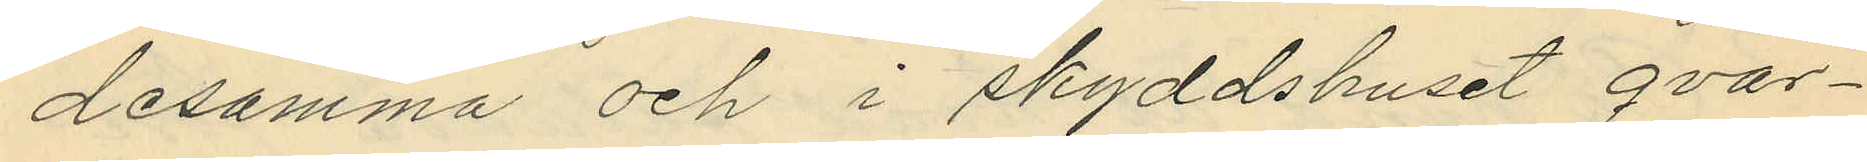desamma och i skyddshuset qvar¬
